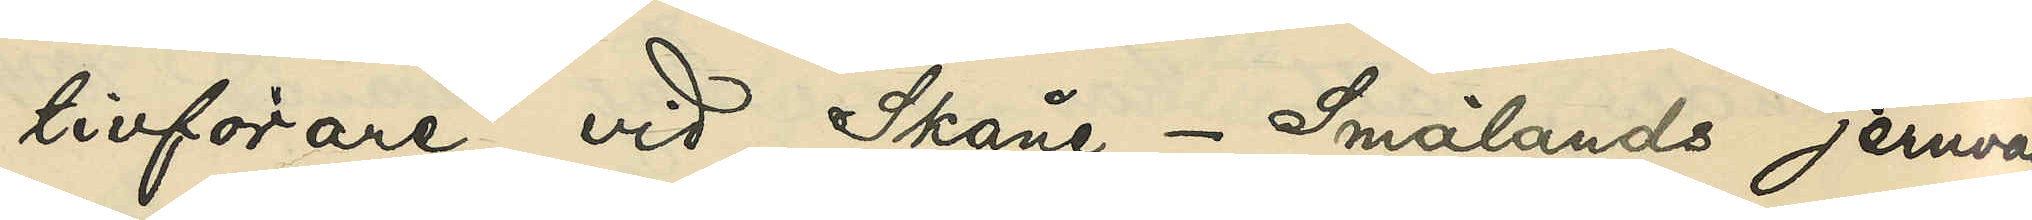tivförare vid Skåne - Smålands jernväg
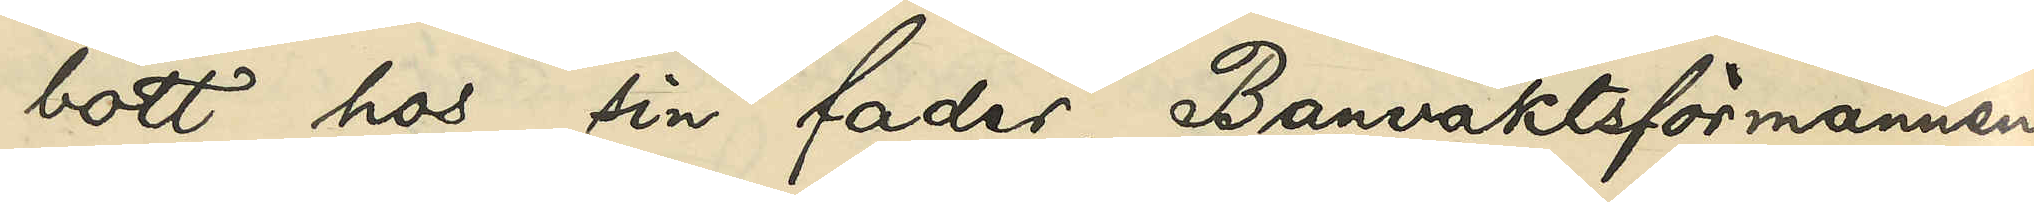bott hos sin fader, Banvaktsförmannen
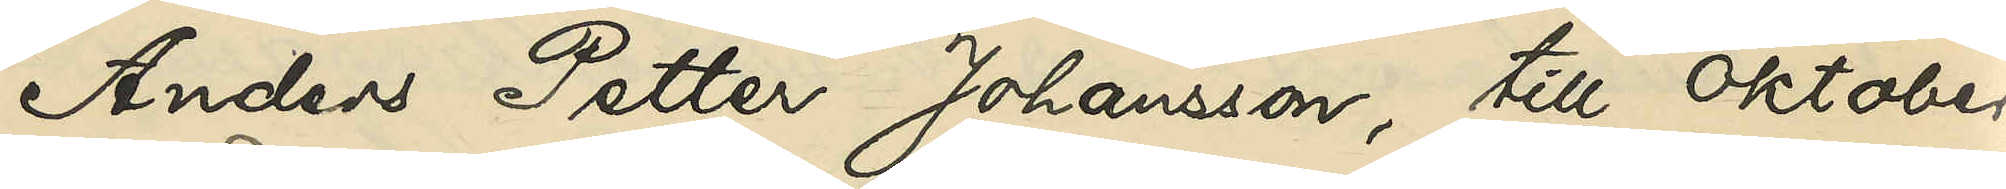Anders Petter Johansson, till Oktober
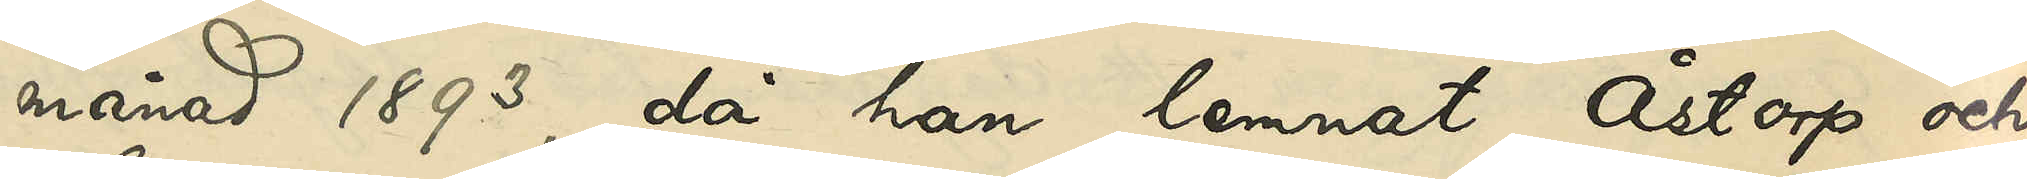månad 1893, då han lemnat Åstorp och
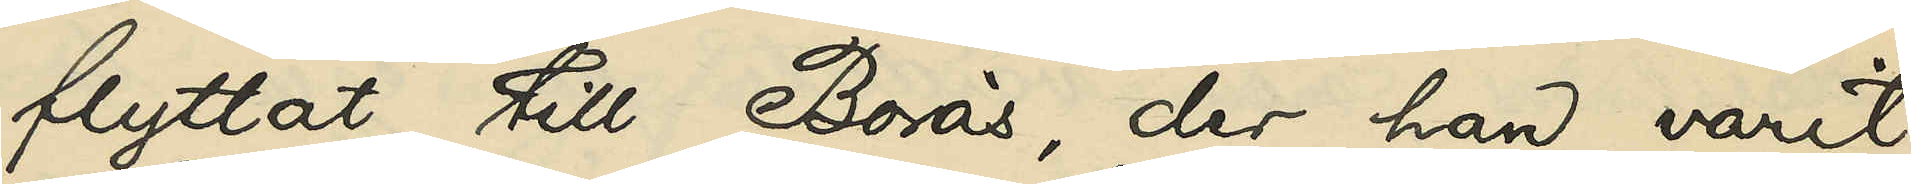flyttat till Borås, der han varit
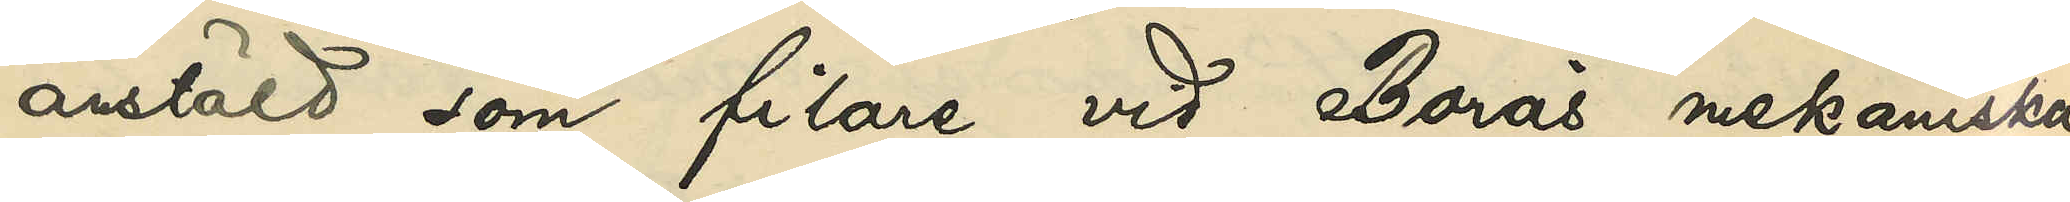anstäld som filare vid Borås mekaniska
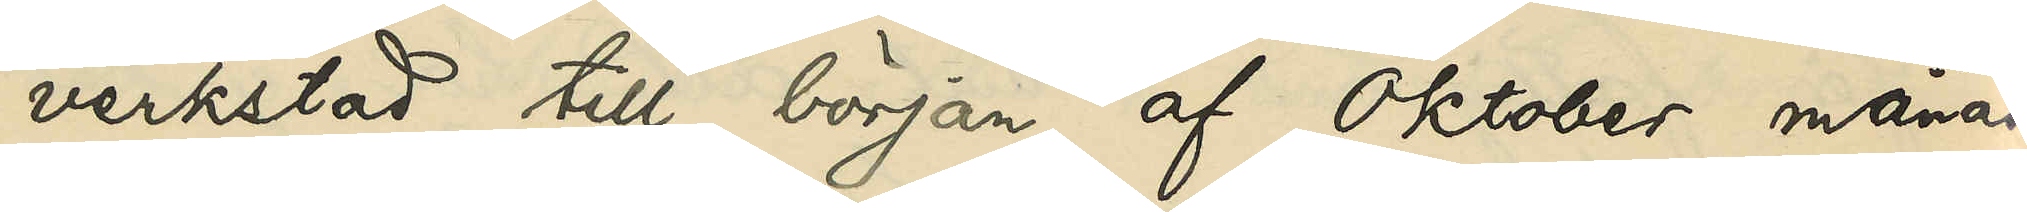verkstad till början af Oktober månad
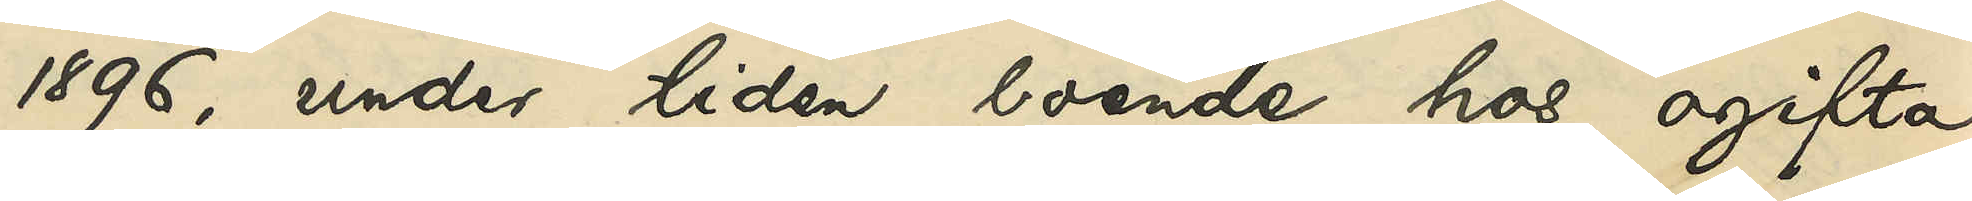1896, under tiden boende hos ogifta
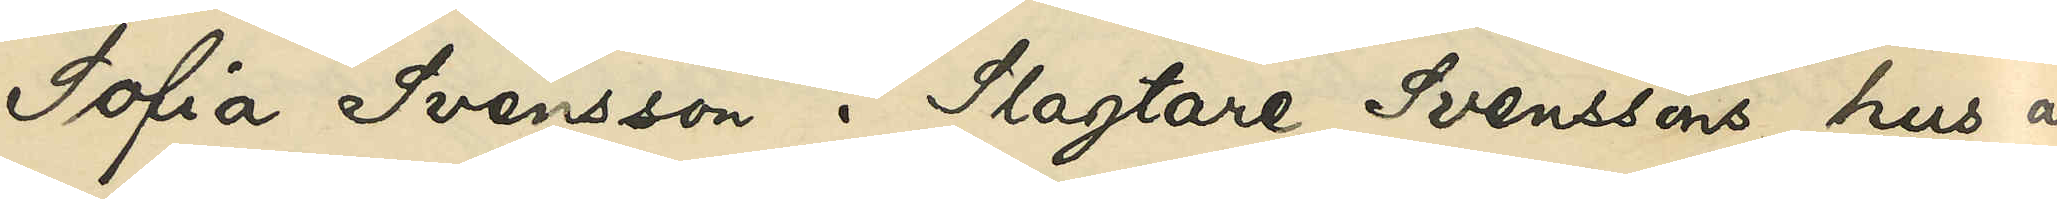Sofia Svensson i Slagtare Svenssons hus å
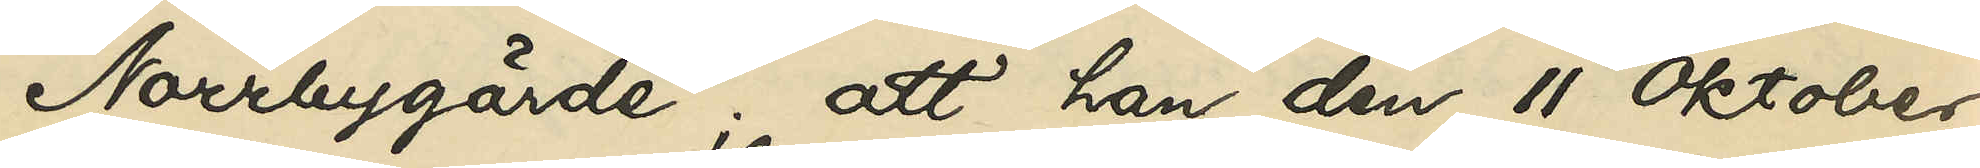Norrbygärde; att han den 11 Oktober
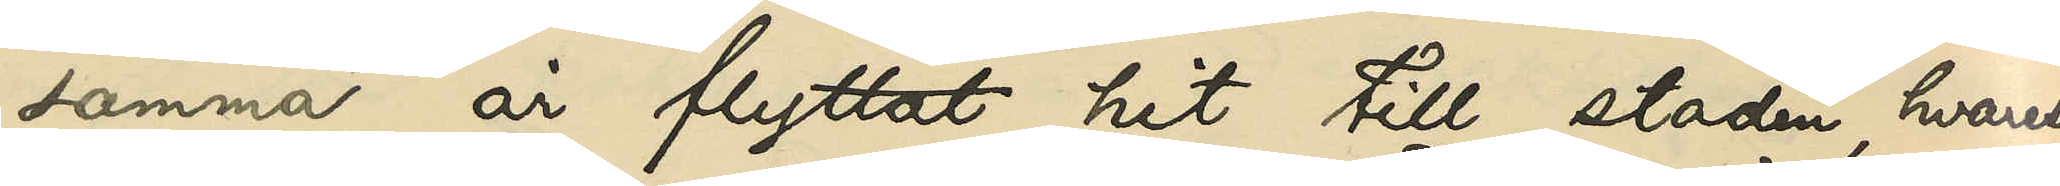samma år flyttat hit till staden, hvarest
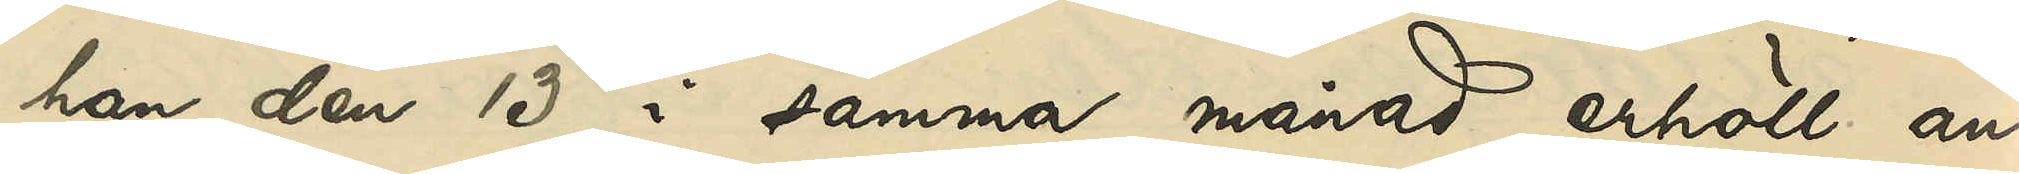han den 13 i samma månad erhöll an¬
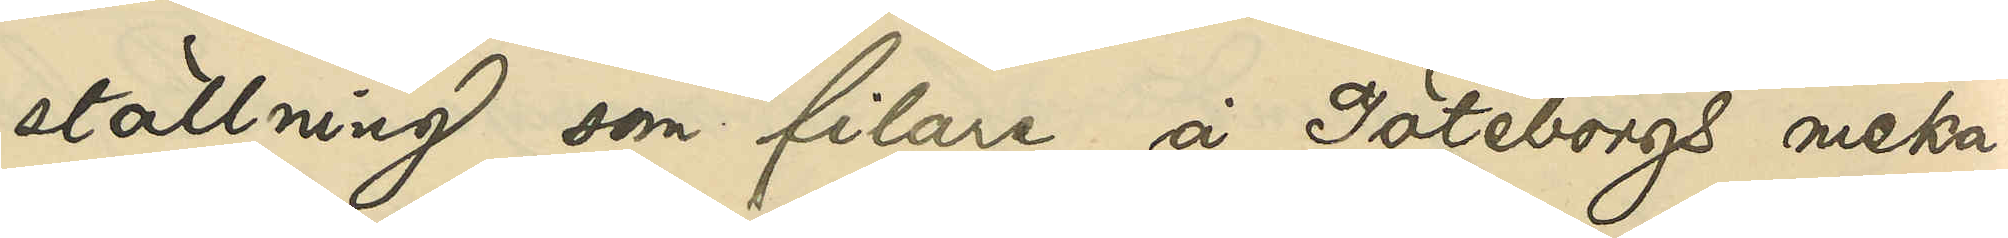ställning som filare å Göteborgs meka¬
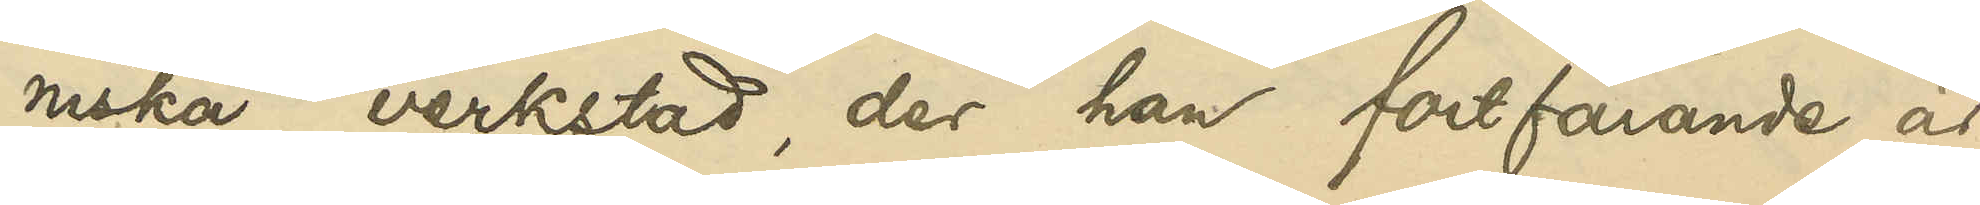niska verkstad, der han fortfarande är
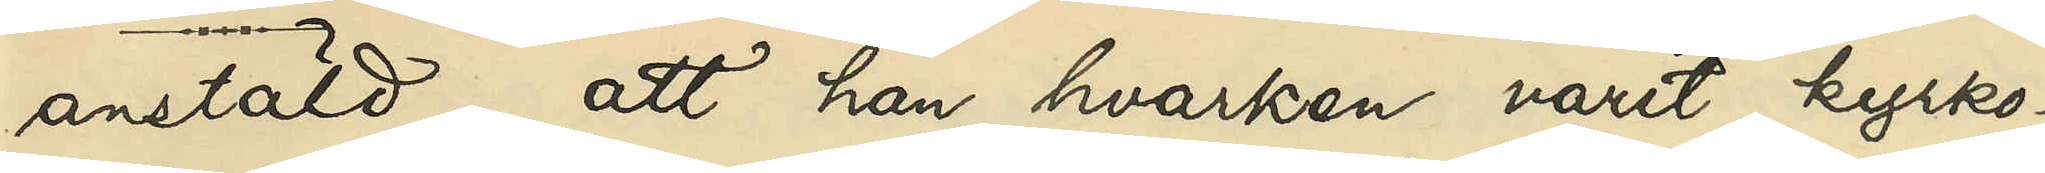anstäld; att han hvarken varit kyrko -
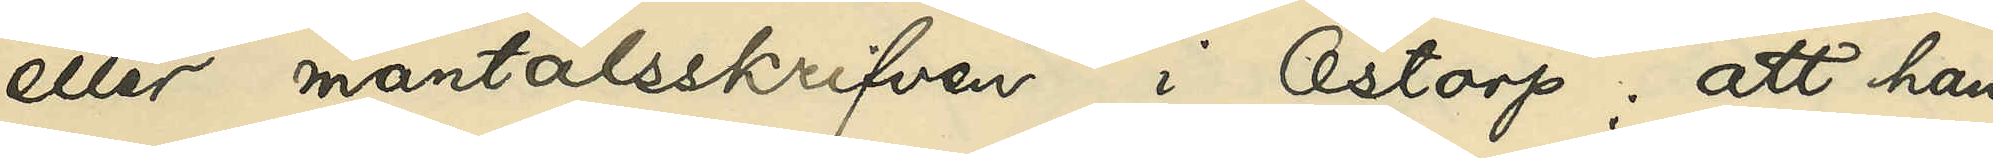eller mantalsskrifven i Åstorp; att han
